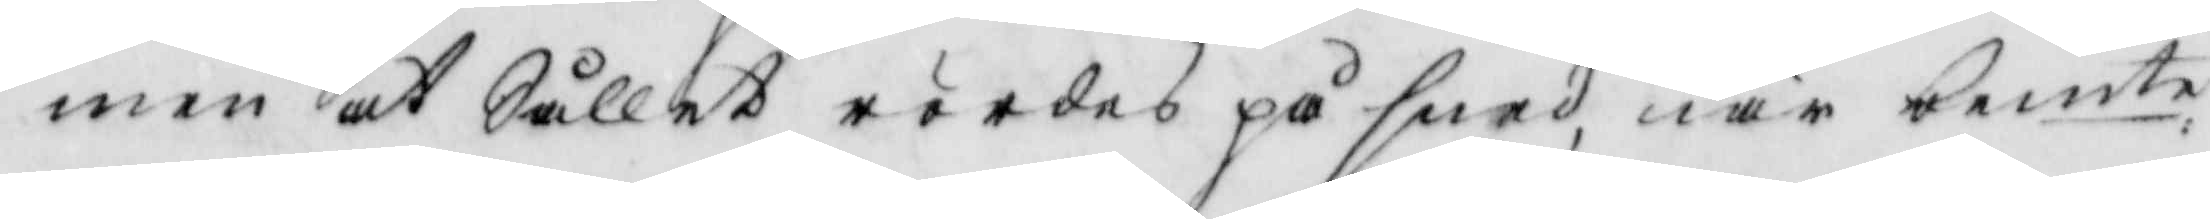men at Sållet rördes på sned, när bemte
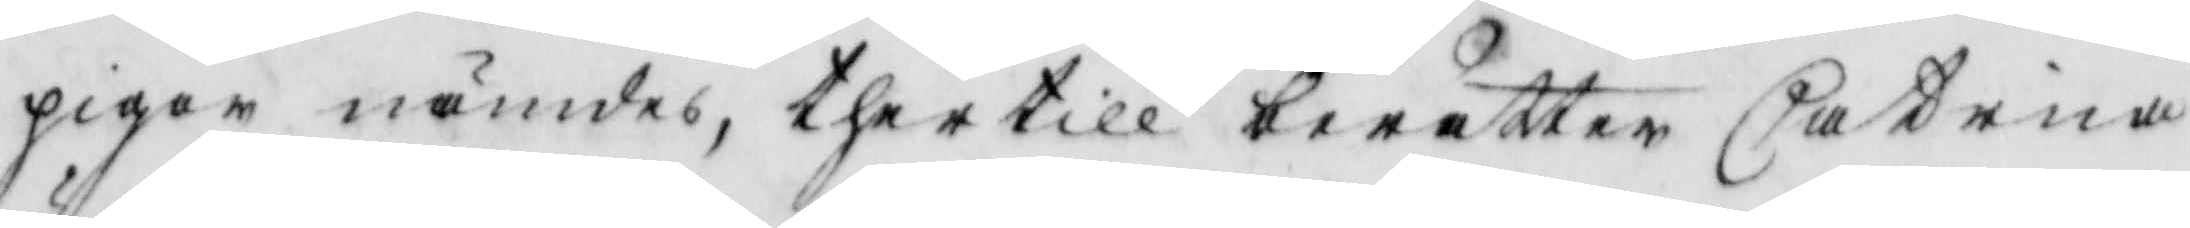pigor nämdes, thertill berättar Catrina
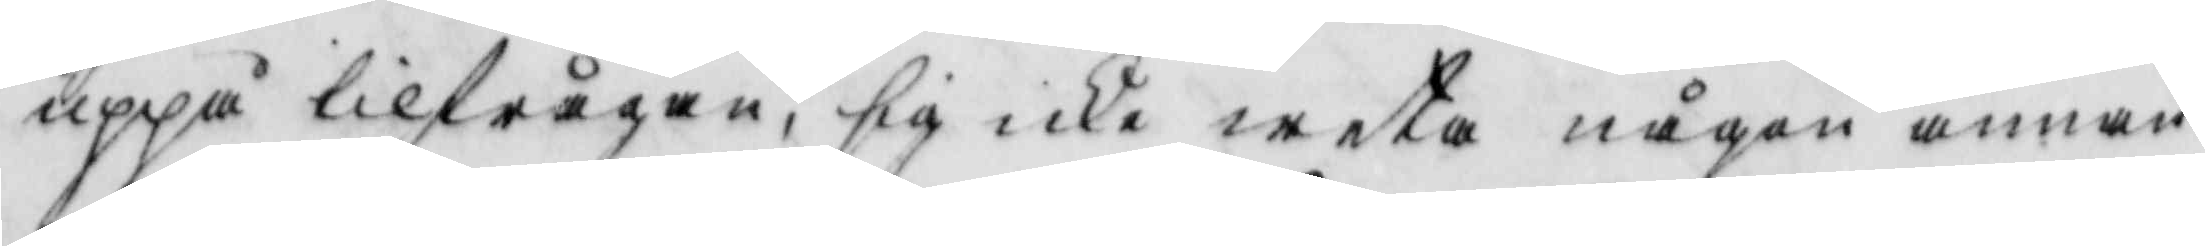uppå tilfrågan, sig ike weta någon annan
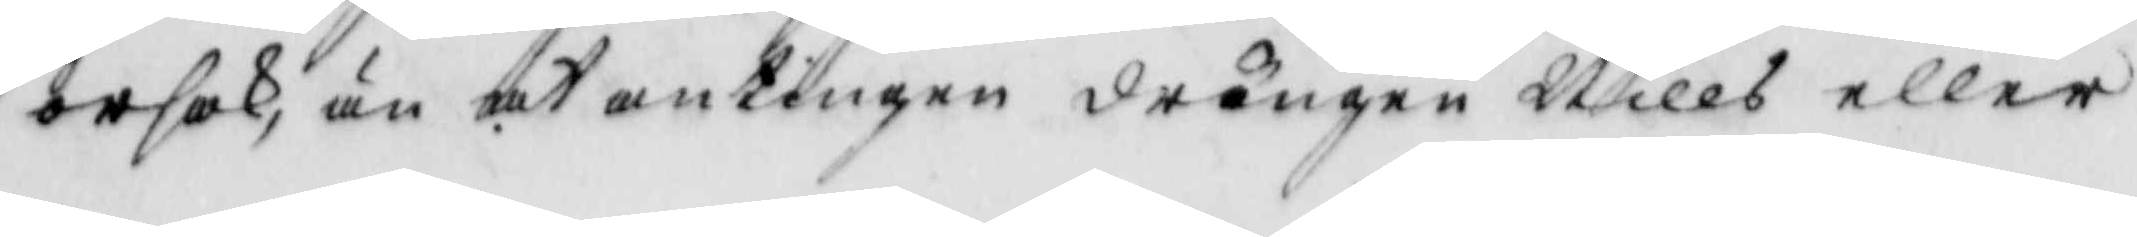orsak, än at antingen drängen Nills eller
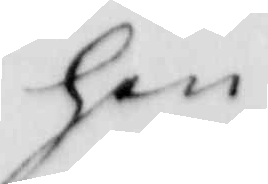hon 
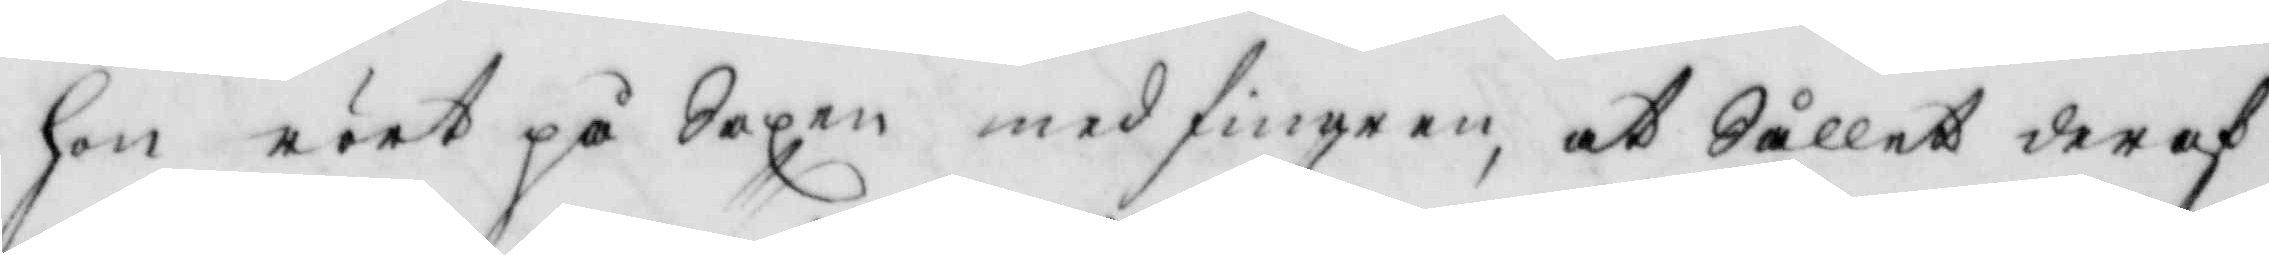hon rört på Saxen med fingren, at Sållet der af
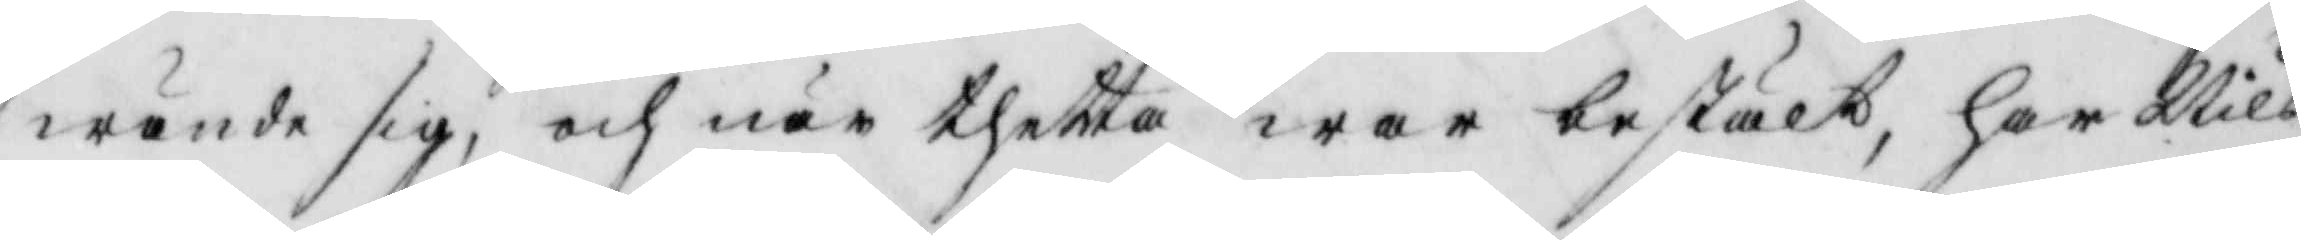wände sig, och när thetta war bestält, har Nils
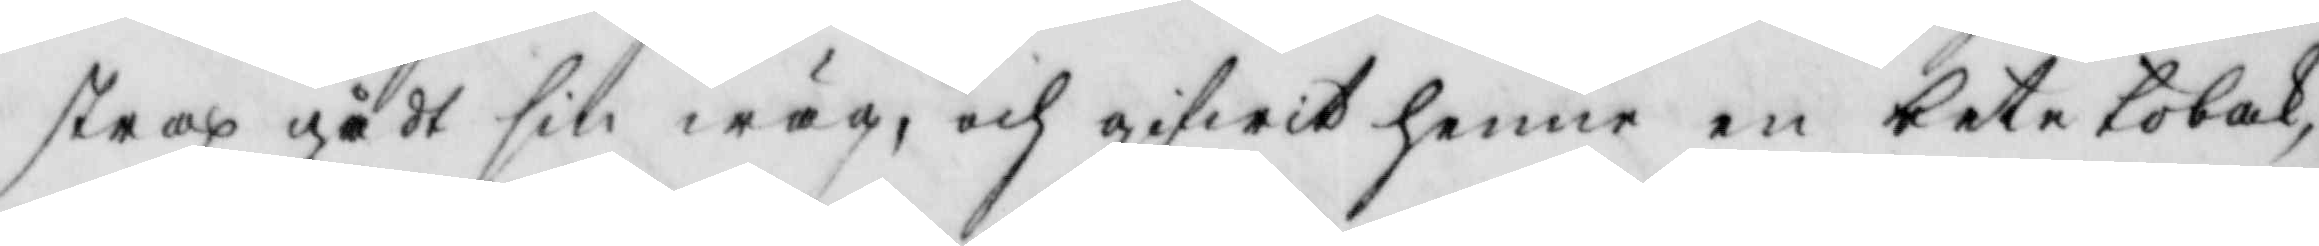strax gådt sin wäg, och gifwit henne en beta tobak,
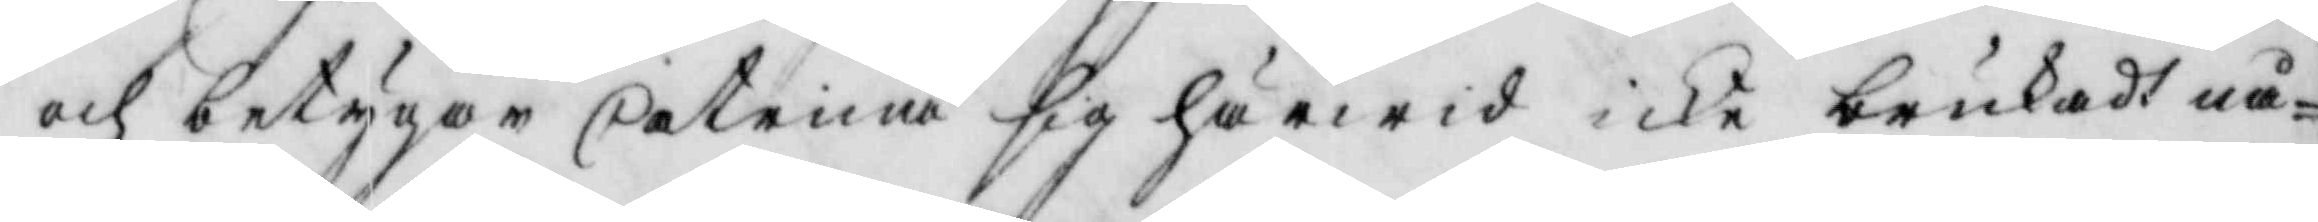och betygar Catrina sig härmed icke brukat nå¬
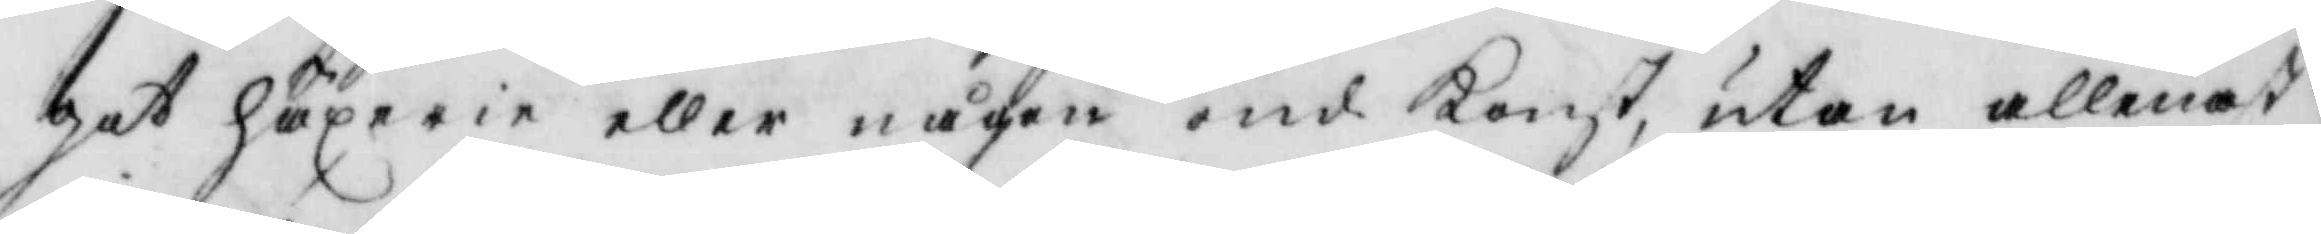got häxerie eller någon ond Konst, utan allenast
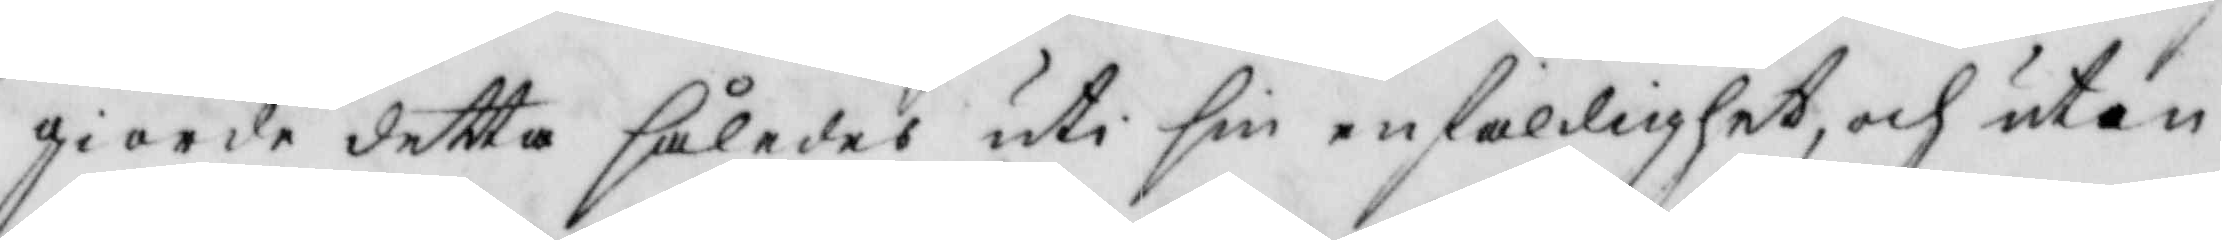giorde detta således uti sin enfaldighet, och utan
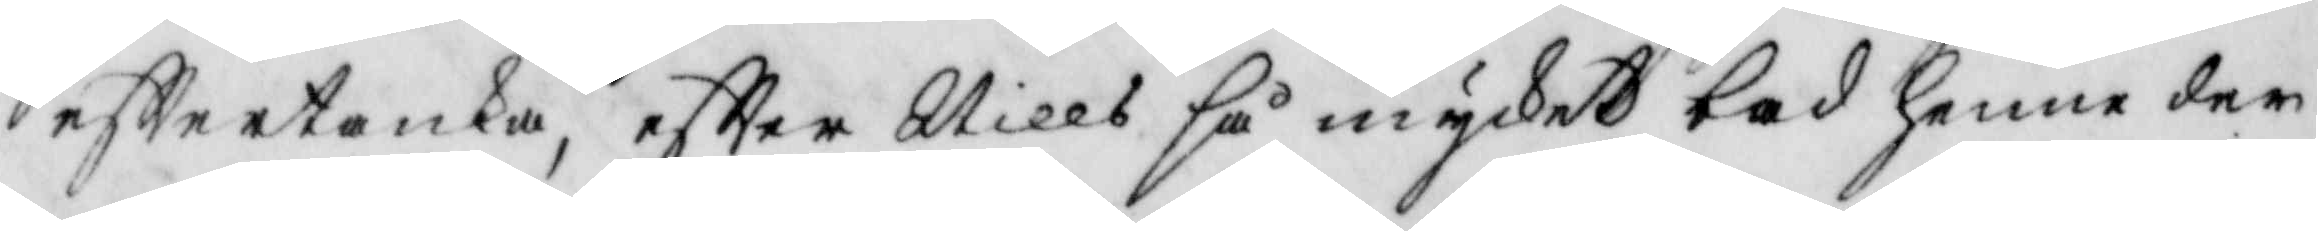efttertanka, eftter Nills så mycket bad henne der
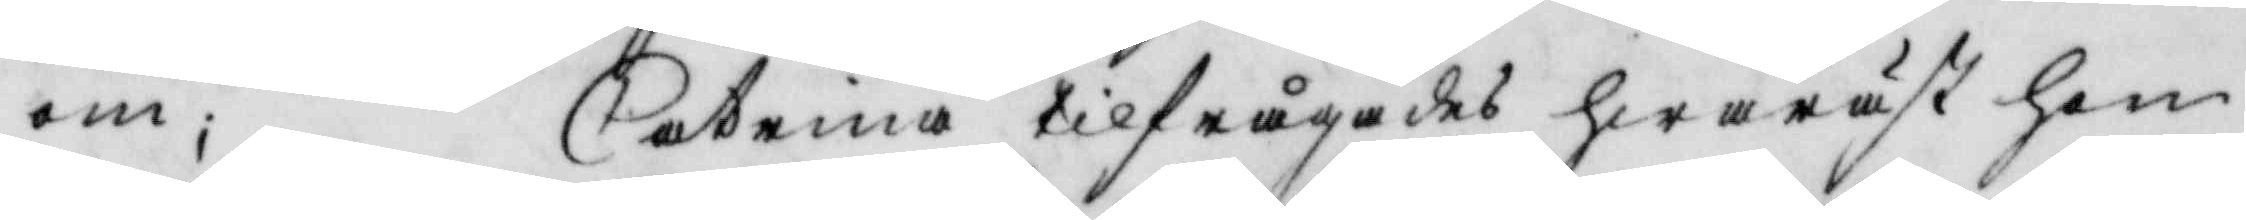om; Catrina tilfrågades hwaräst hon
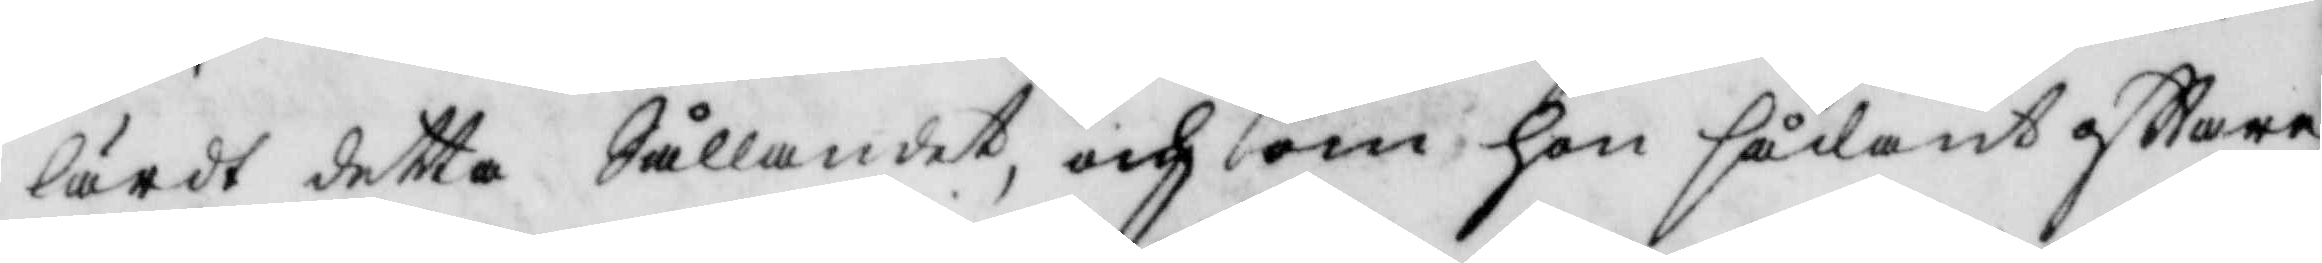lärdt detta Sållandet, och om hon sådant ofttare
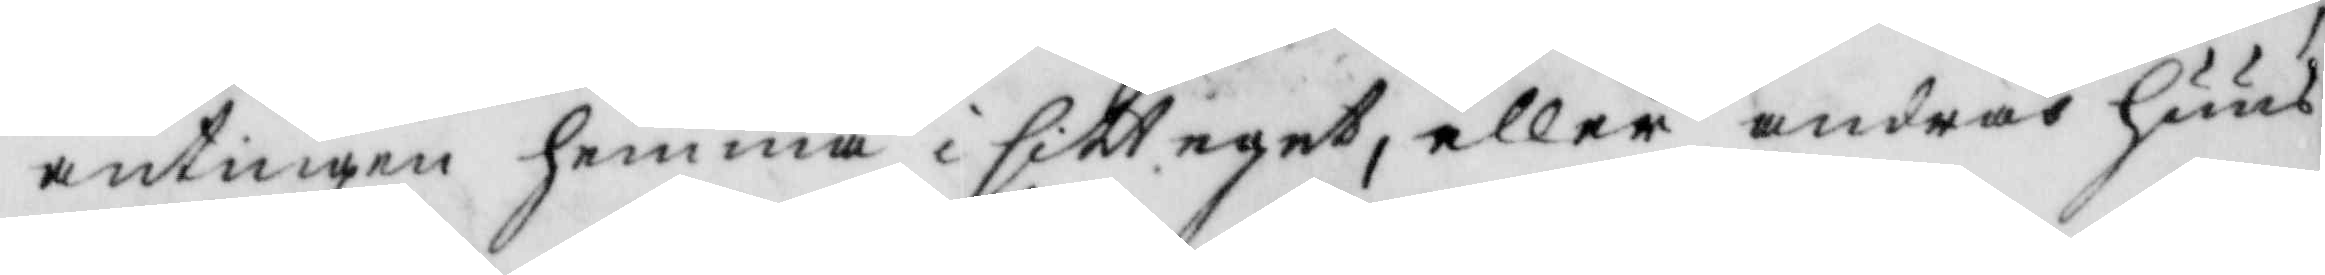antingen hemma i sitt eget, eller andras huus
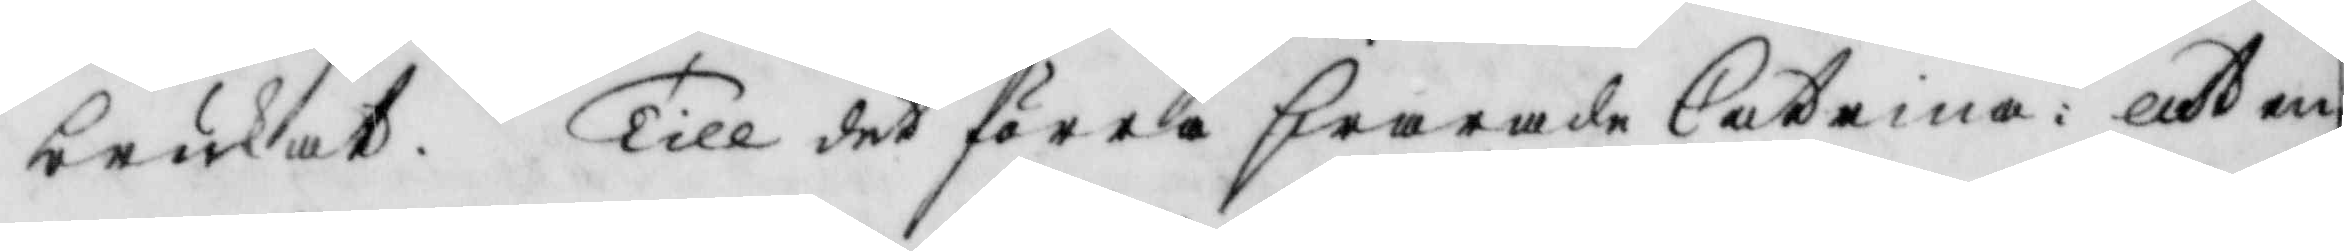brukat. Till det förra swarade catrina: at en 
